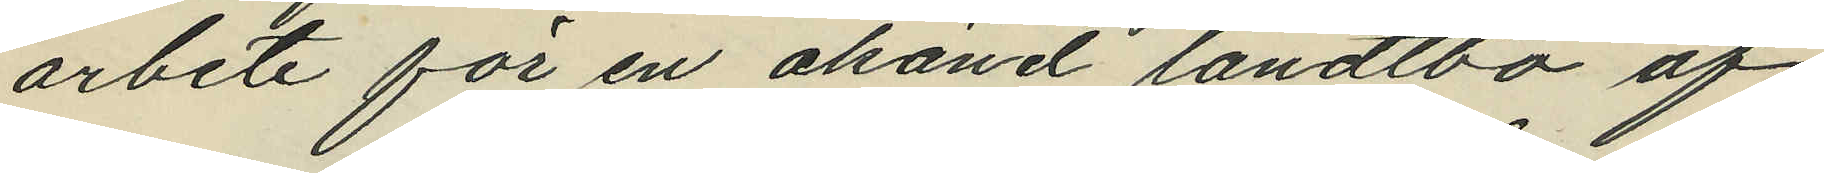arbete för en okänd landtbo af
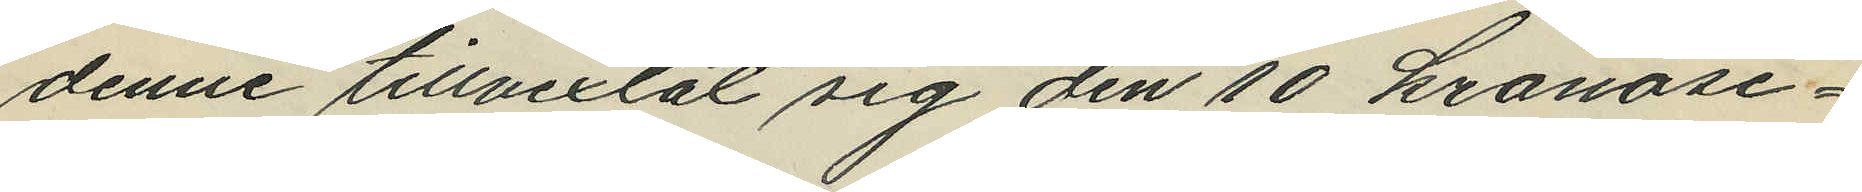denne tillvexlat sig den 10 kronose¬
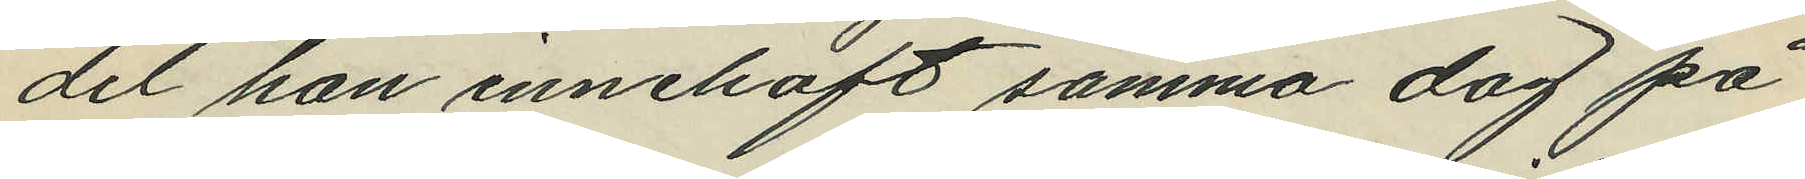del han innehaft samma dag på
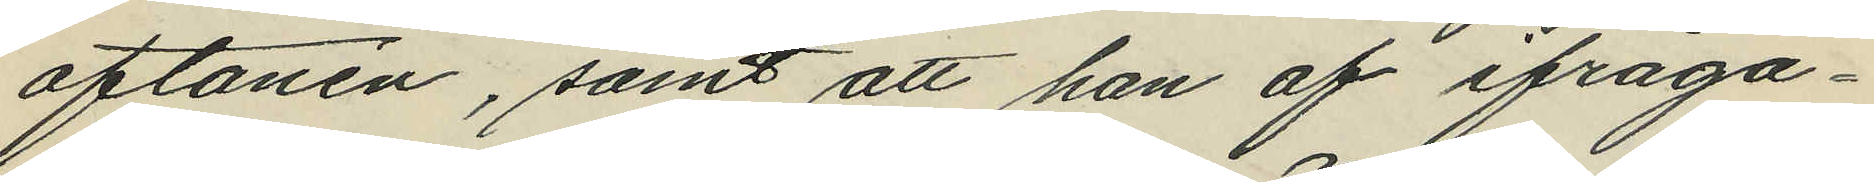aftonen, samt att han af ifråga¬
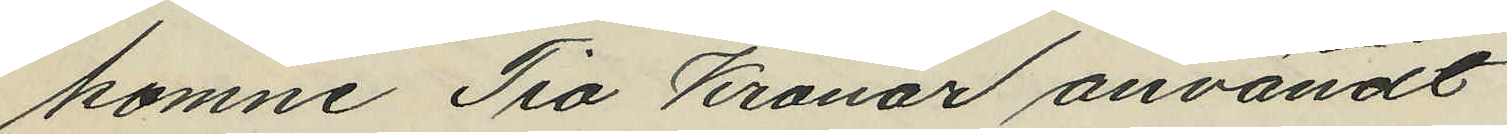komne Tio Kronor användt
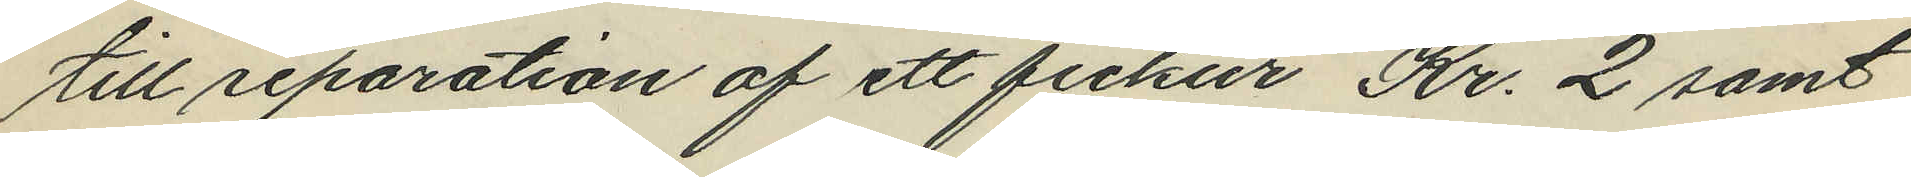till reparation af ett fickur Kr. 2 samt
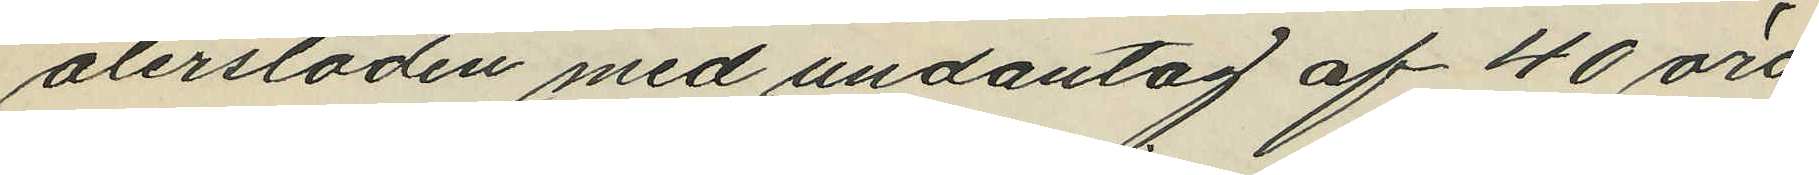återstoden med undantag af 40 öre
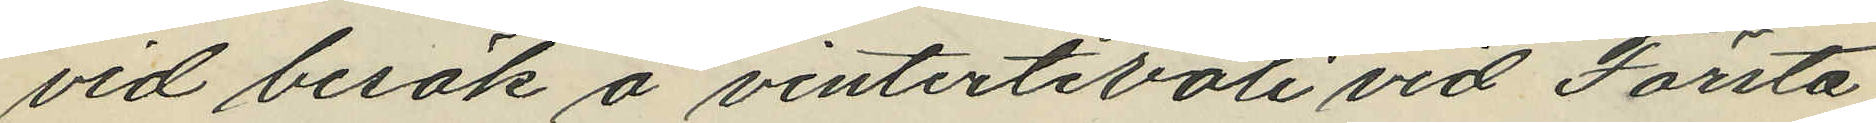vid besök å vintertivoli vid Första
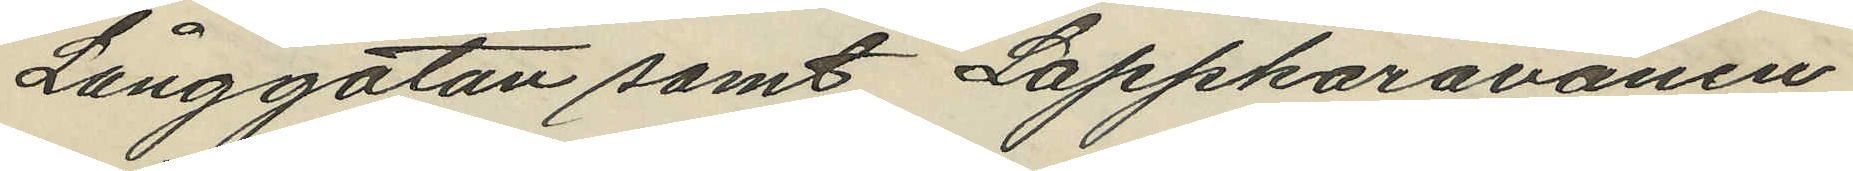Långgatan samt Lappkaravanen
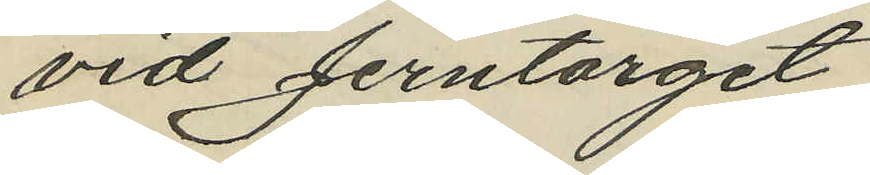vid Jerntorget.
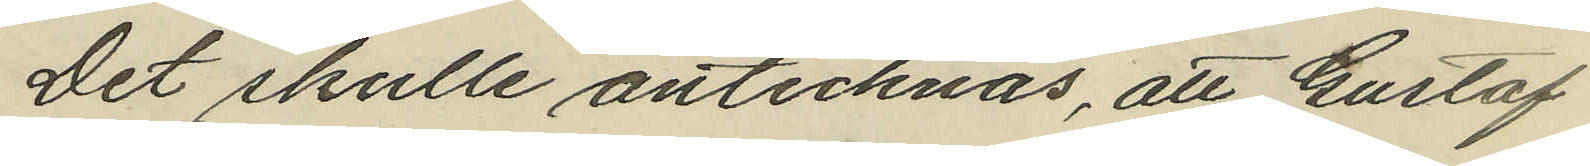Det skulle antecknas, att Gustaf
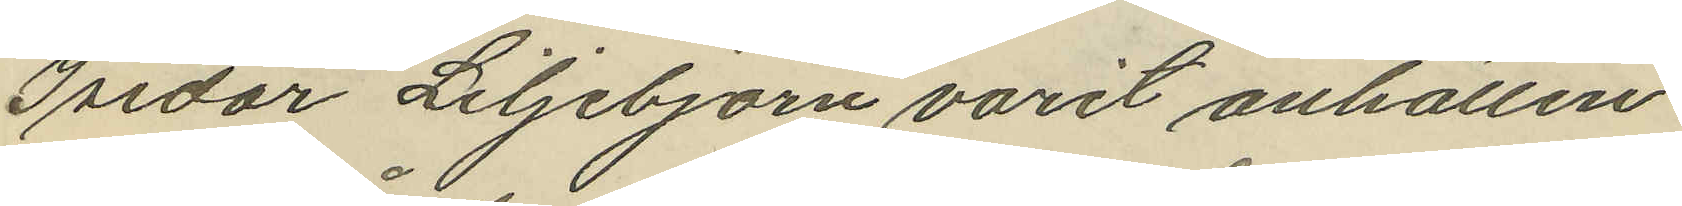Isidor Liljebjörn varit anhållen
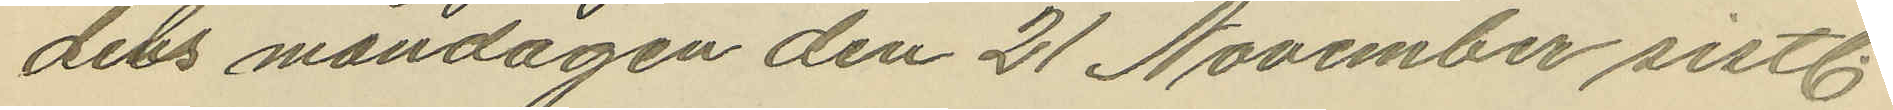dels måndagen den 21 November sistl.
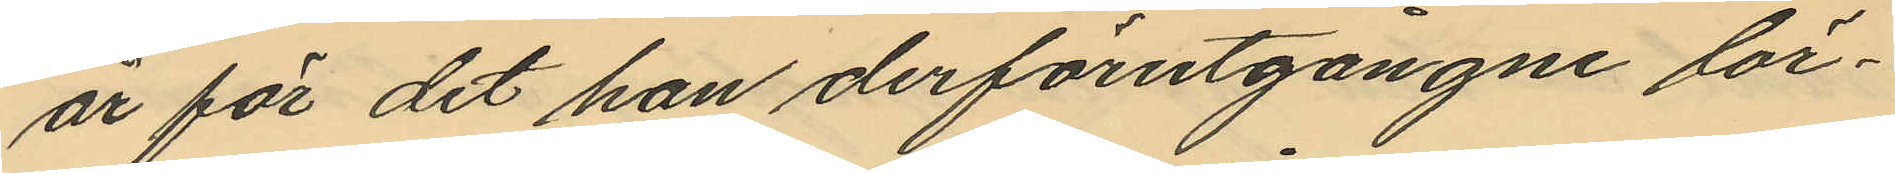år för det han derförutgångne lör¬
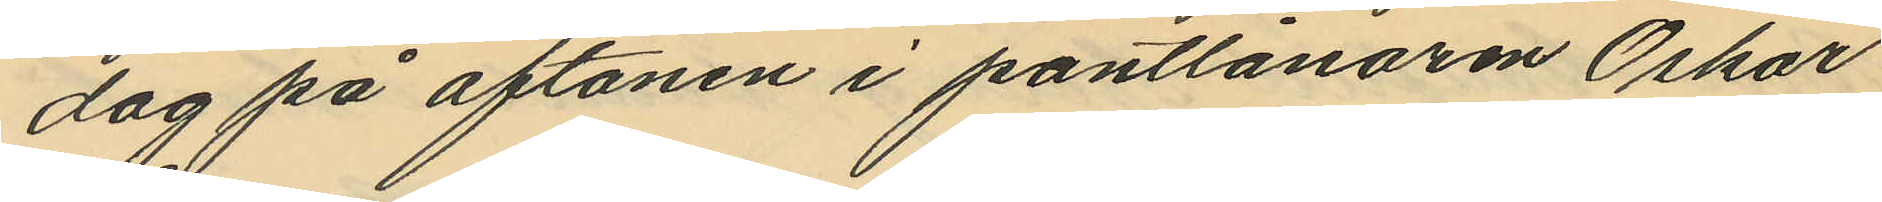dag på aftonen i pantlånaren Oskar
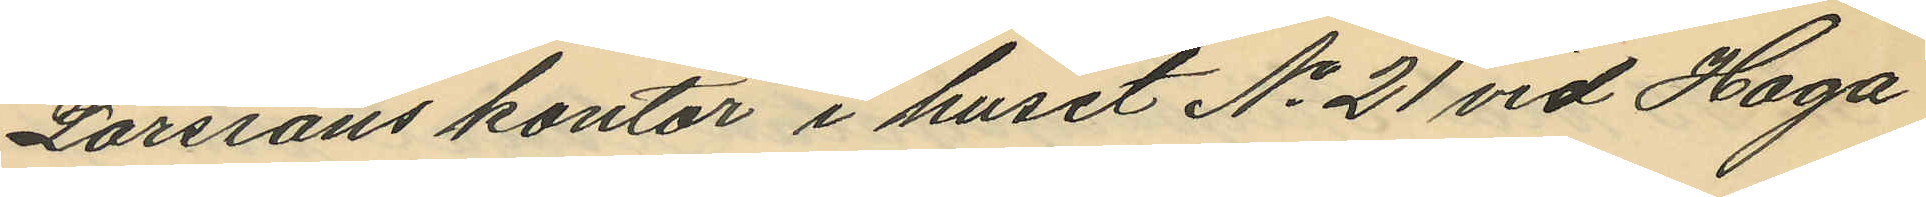Larssons kontor i huset No 21 vid Haga
